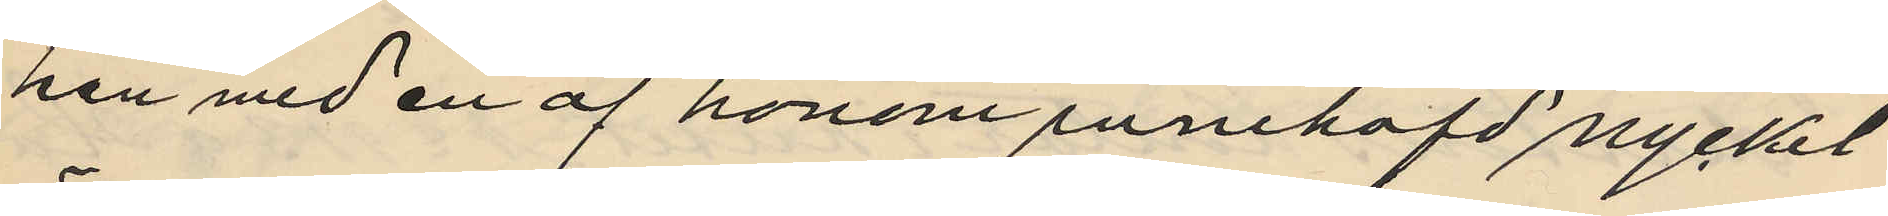han med en af honom innehafd nyckel
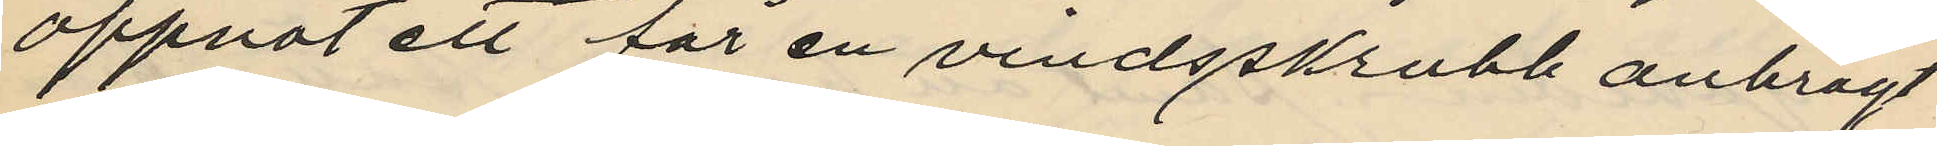öppnat ett för en vindsskrubb anbragt
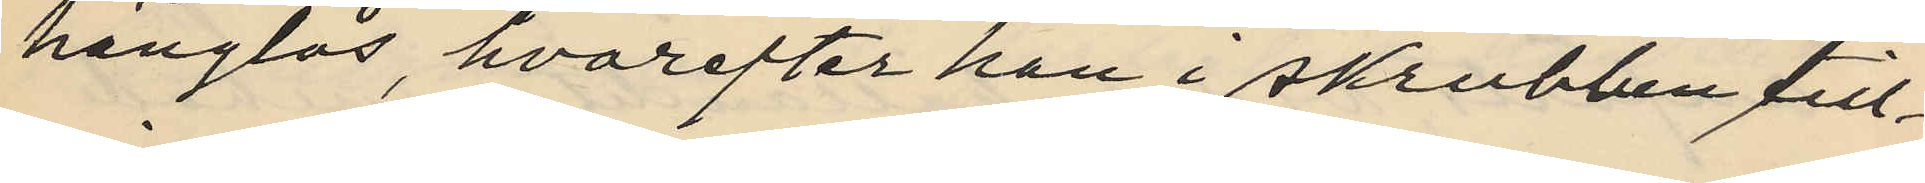hänglås, hvarefter han i skrubben till¬
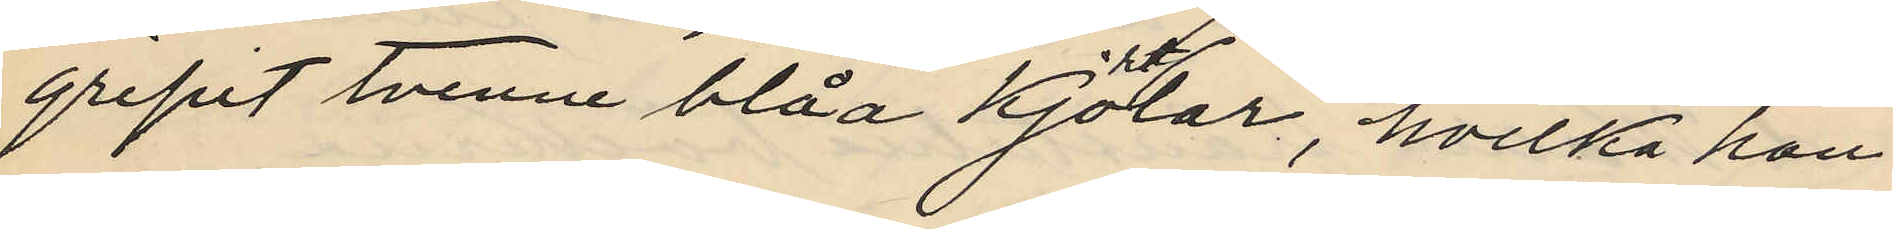gripit tvenne blåa kjortlar, hvilka han
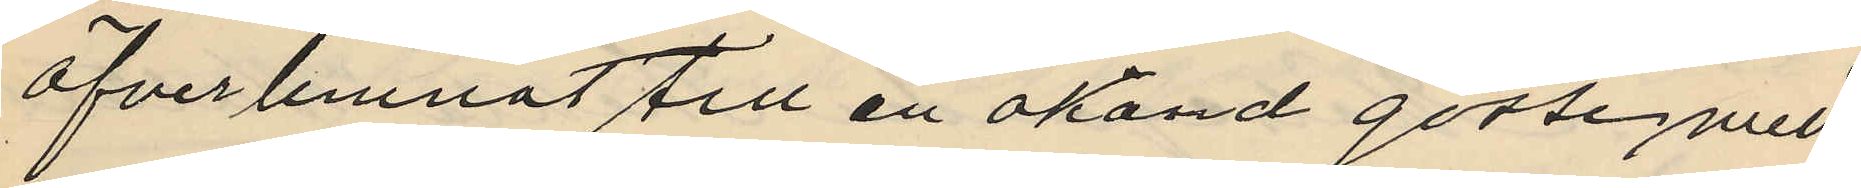öfverlemnat till en okänd gosse med
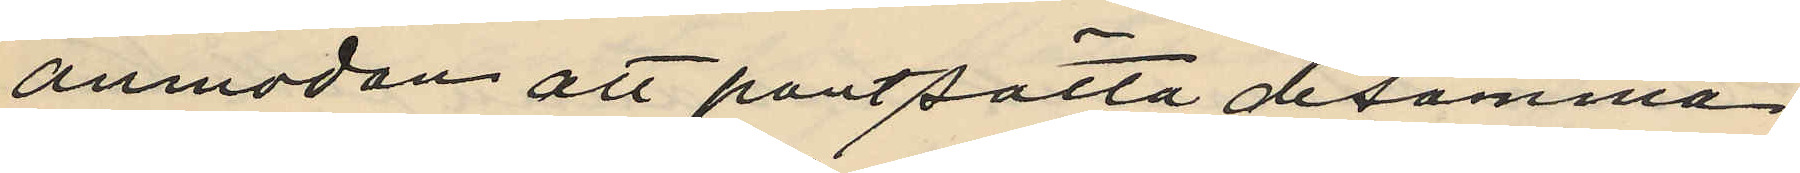anmodan att pantsätta desamma
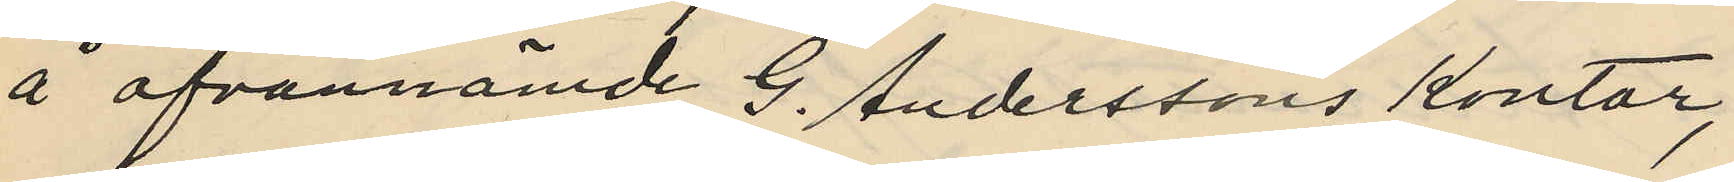å ofvannämde G. Anderssons kontor,
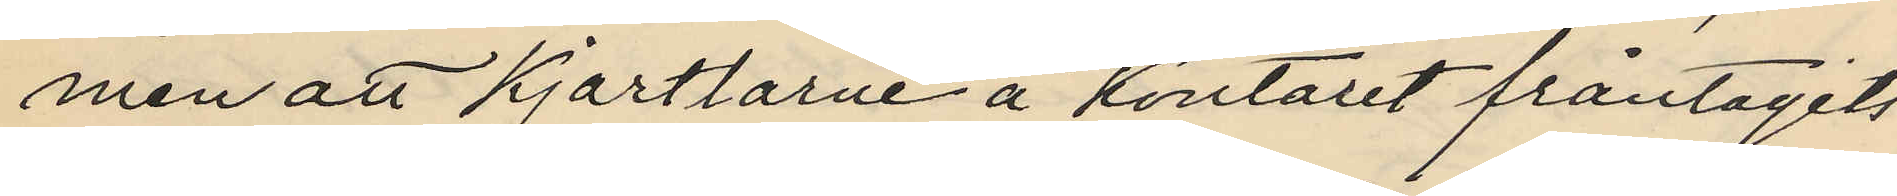men att kjortlarne å kontoret fråntagits
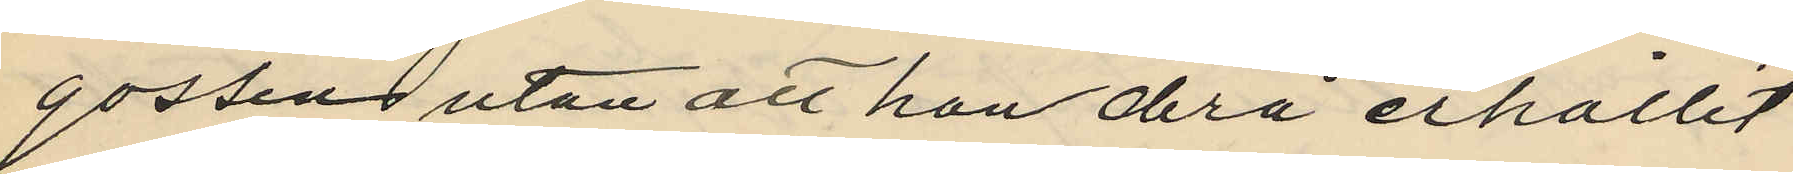gossen utan att han derå erhållit
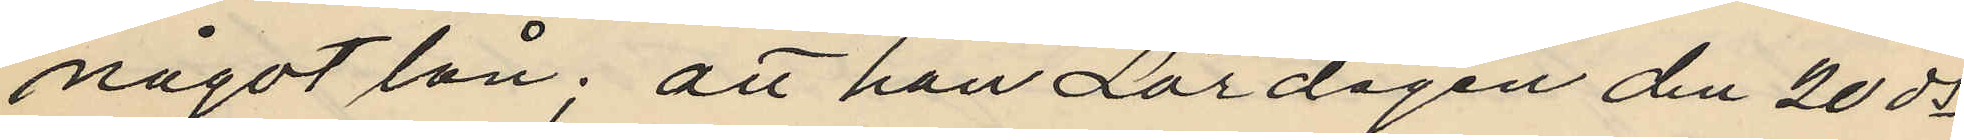något lån; att han Lördagen den 20 ds
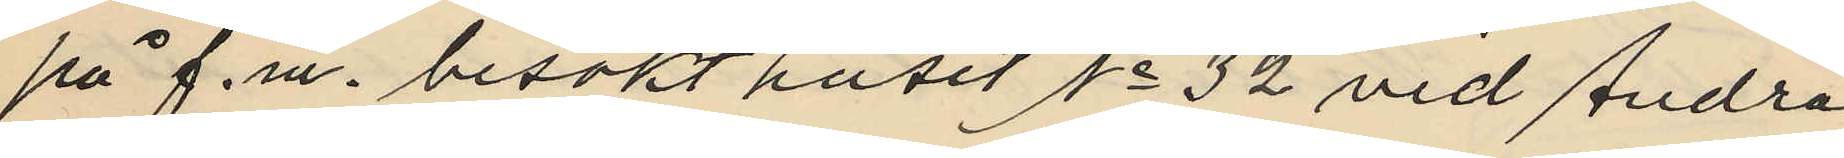på f.m. besökt huset No 32 vid Andra
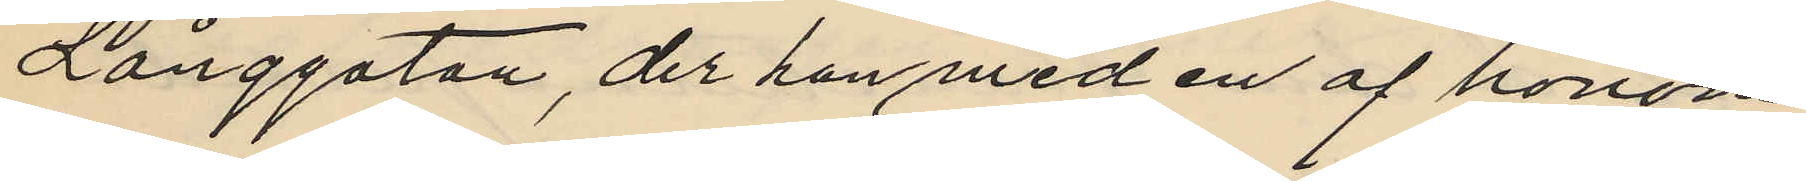Långgatan, der han med en af honom
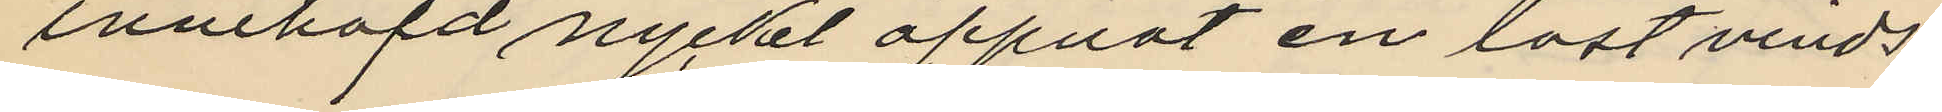innehafd nyckel öppnat en låst vinds¬
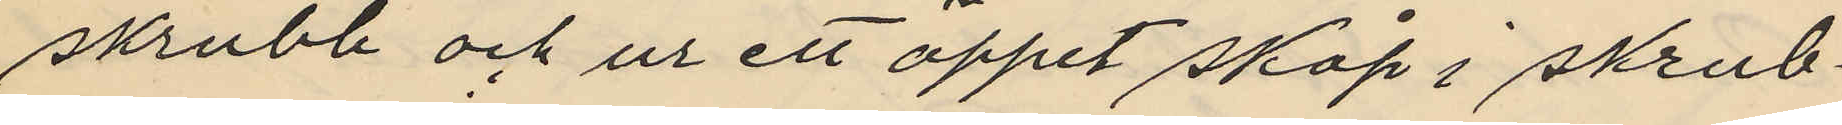skrubb och ur ett öppet skåp i skrub¬
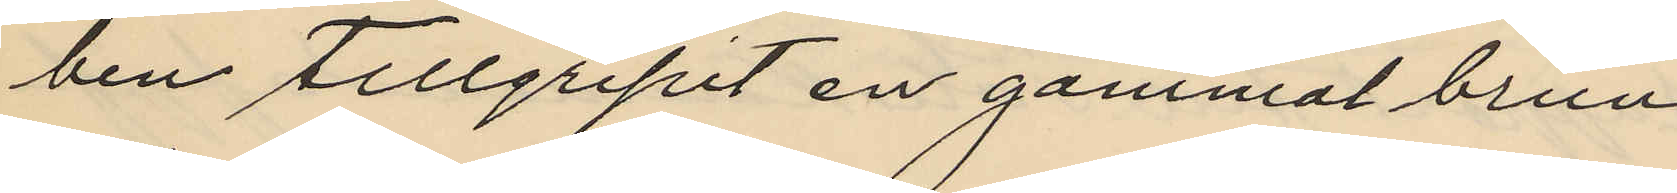ben tillgripit en gammal brun
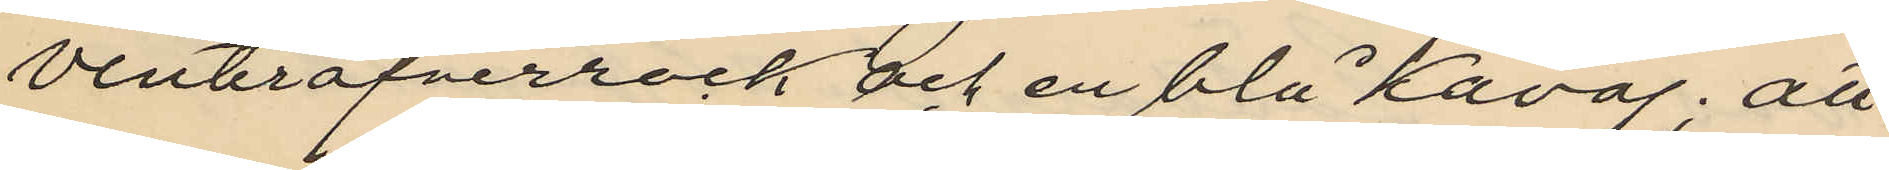vinteröfverrock och en blå kavaj; att
